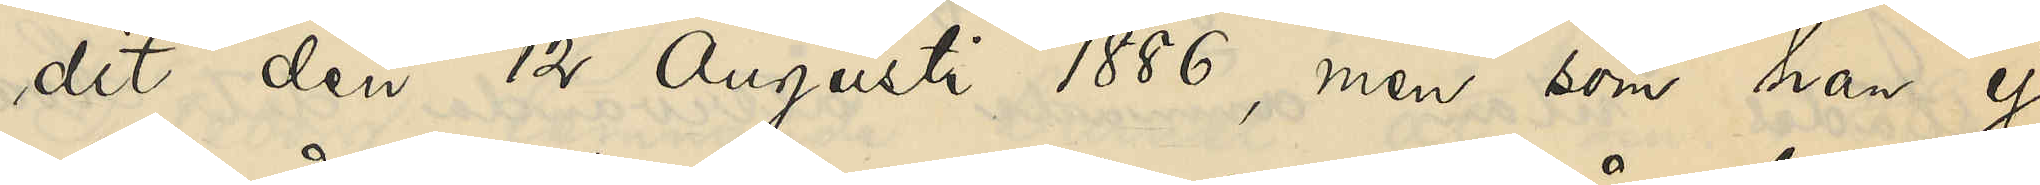dit de 12 Augusti 1886, men som han ej
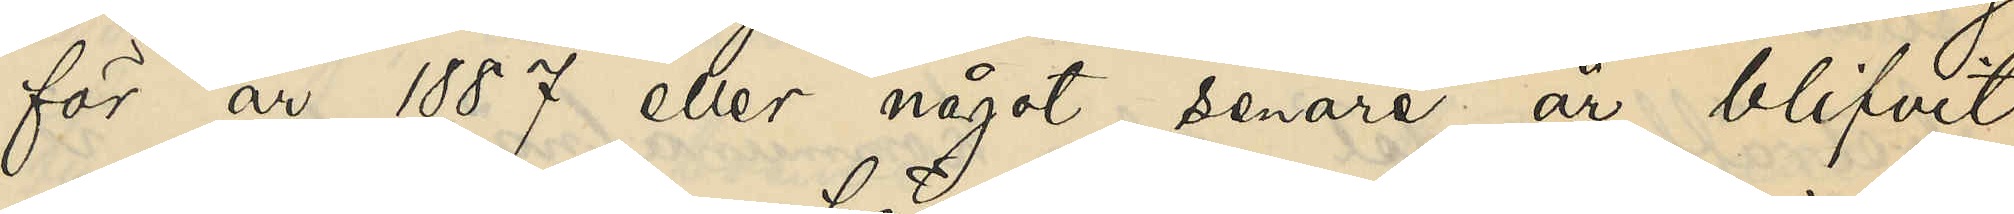för år 1887 eller något senare år blifvit
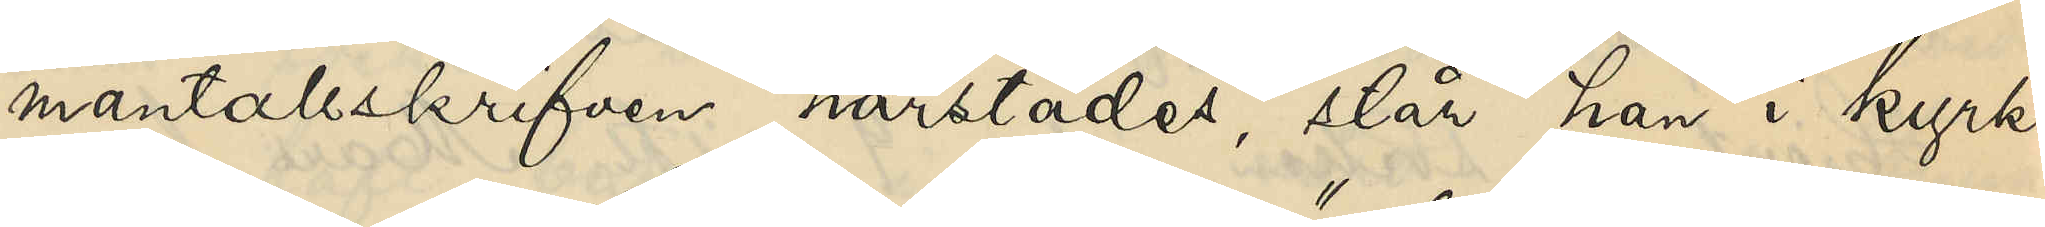mantalsskrifven härstädes, står han i kyrko¬
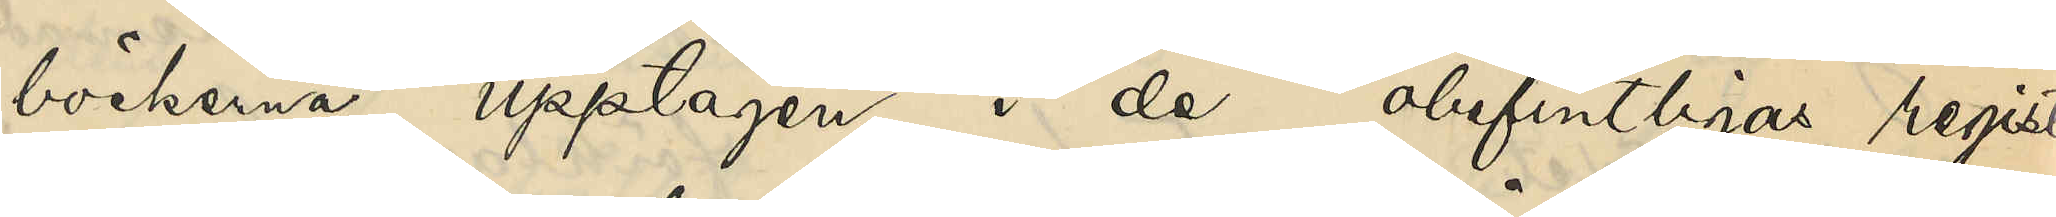böckerna upptagen i de "obefintligas register."
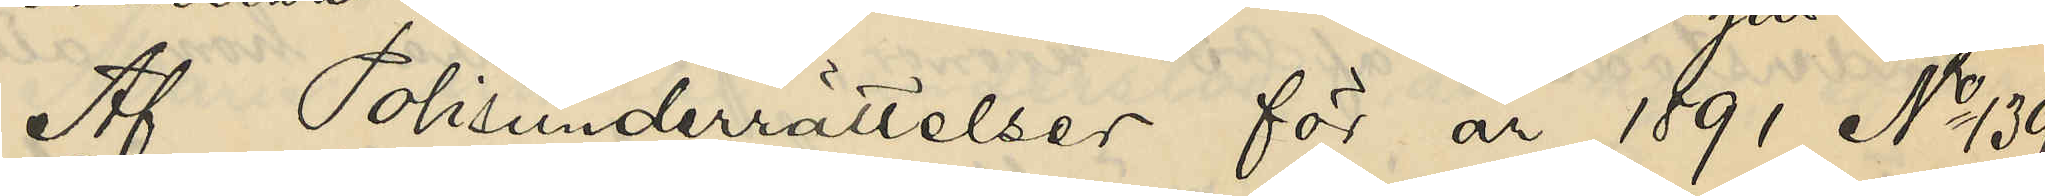Af Polisunderrättelser för år 1891 No 139
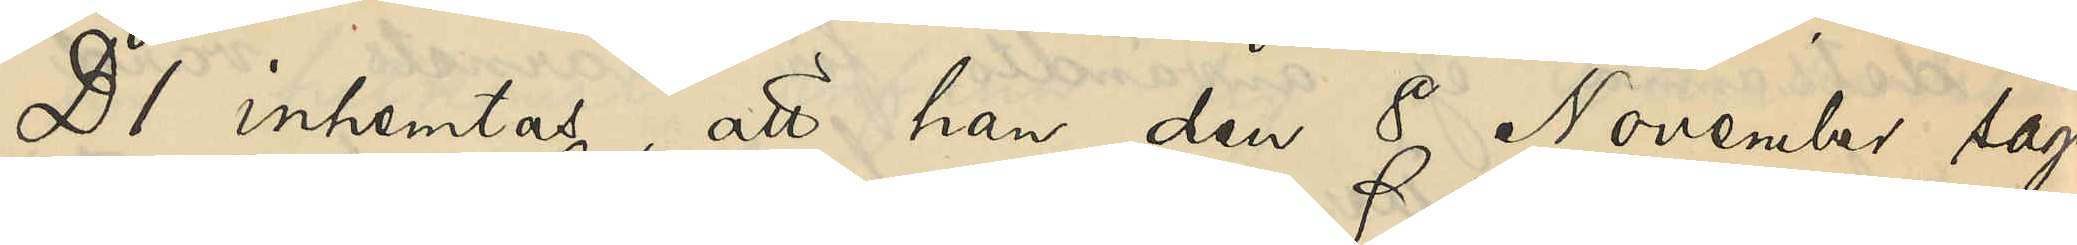D 1 inhemtas, att han den 8 November sagde
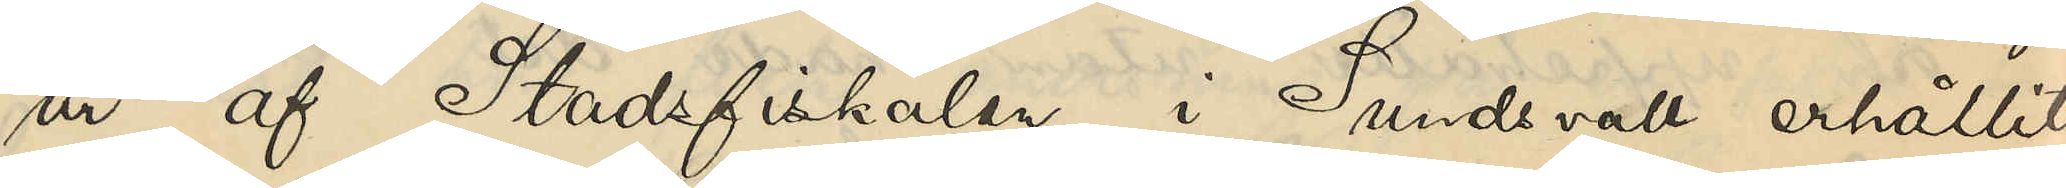år af Stadsfiskalen i Sundsvall erhållit
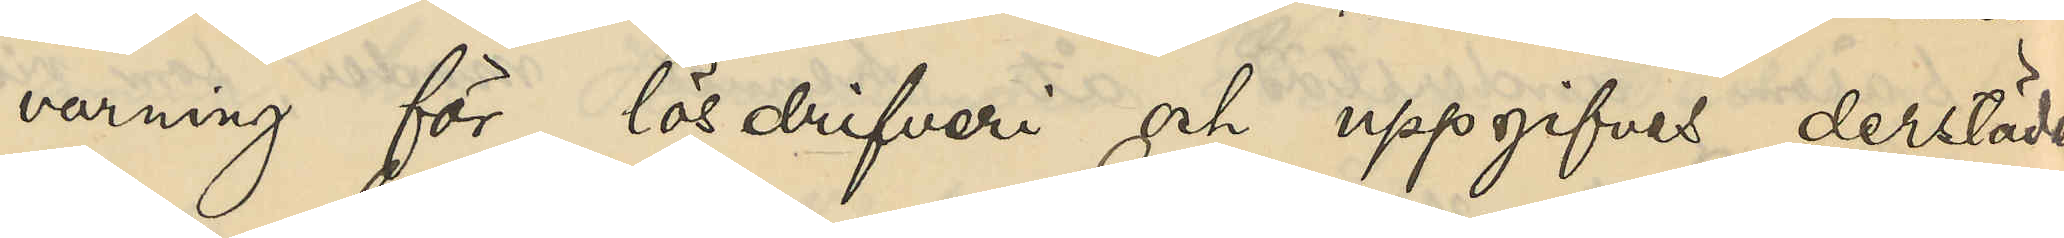varning för lösdrifveri och uppgifves derstädes
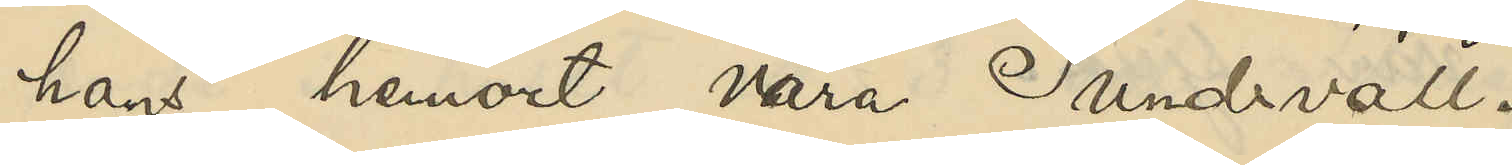hans hemort vara Sundsvall.
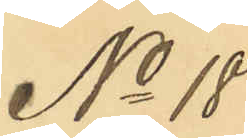No 18
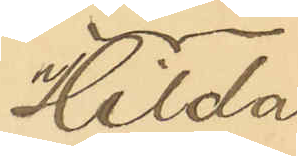Hilda
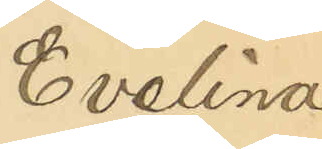Evelina
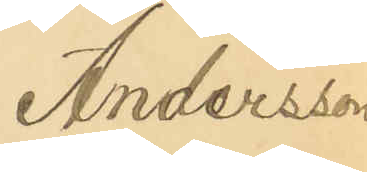Andersson.
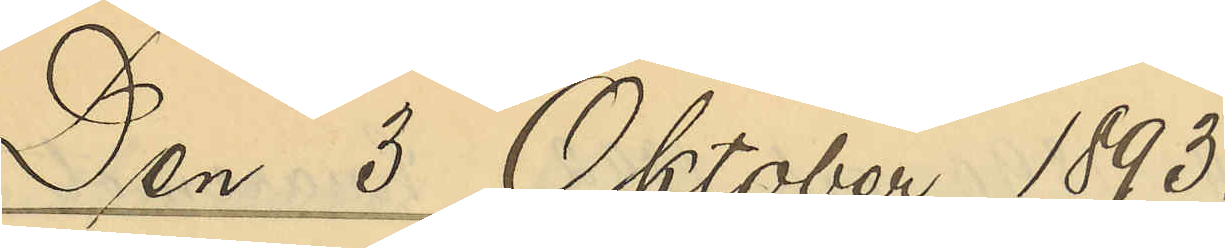Den 3 Oktober 1893.
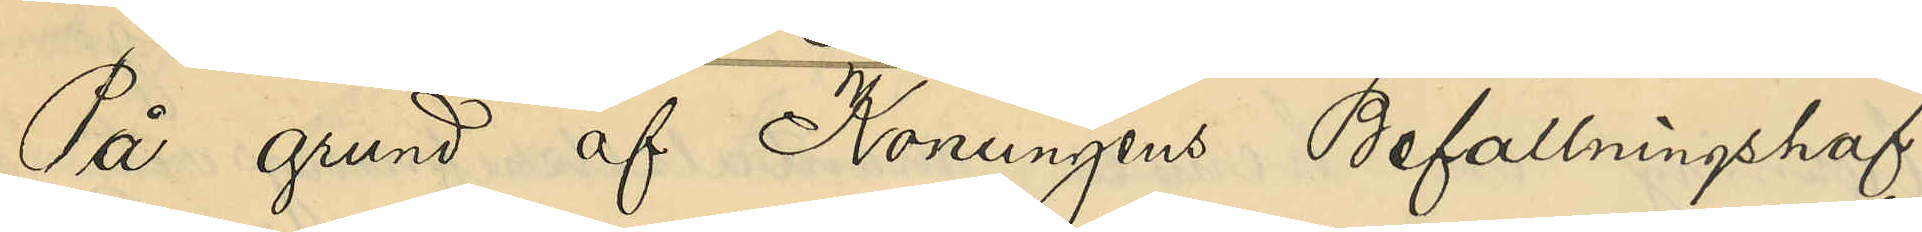På grund af Konungens Befallningshaf¬
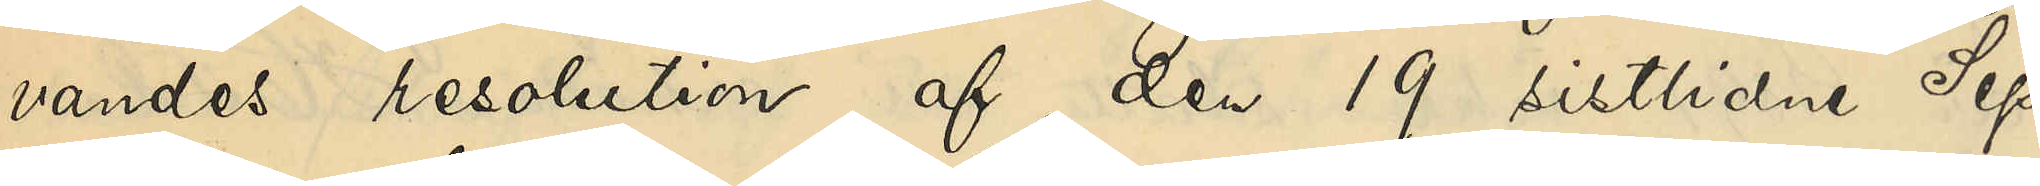vandes resolution af den 19 sistlidne Sep¬
